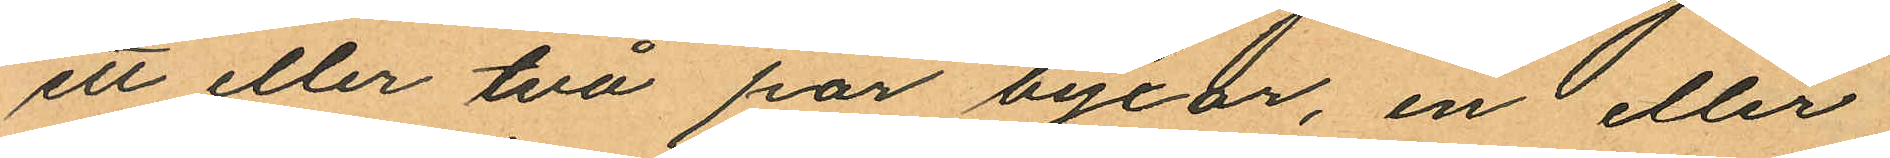ett eller två par byxor, en eller
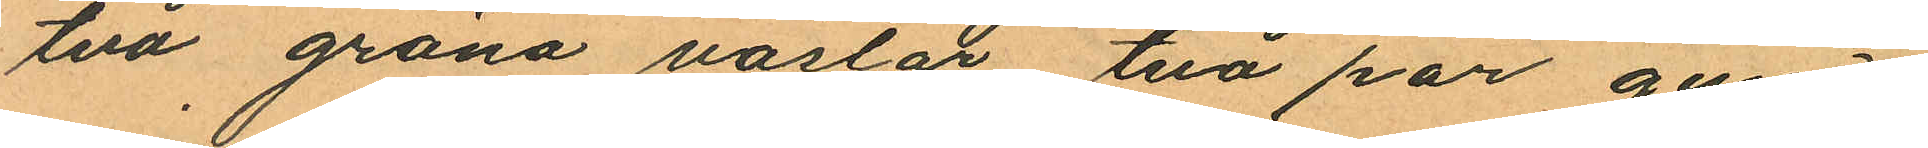två gröna västar, två par gum¬
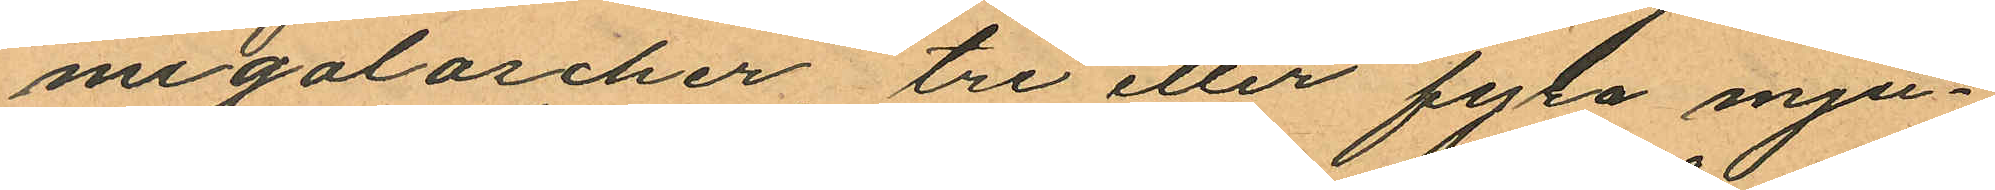migaloscher tre eller fyla mju¬
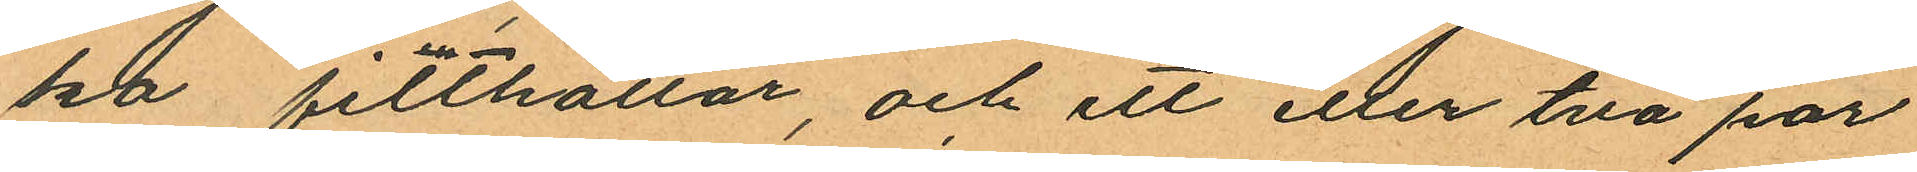ka filthattar och ett eller två par
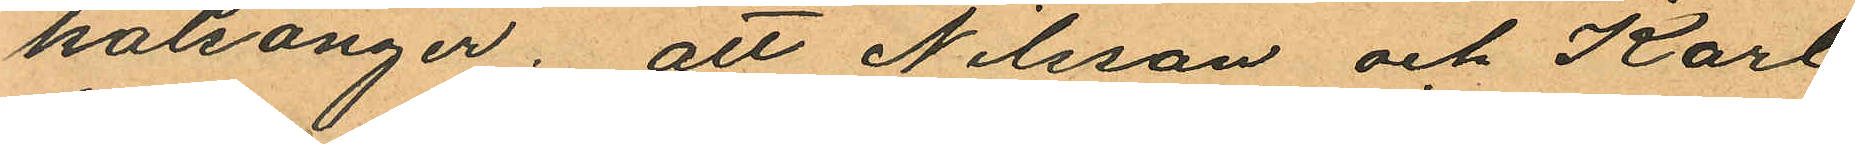kalsonger; att Nilsson och Karl
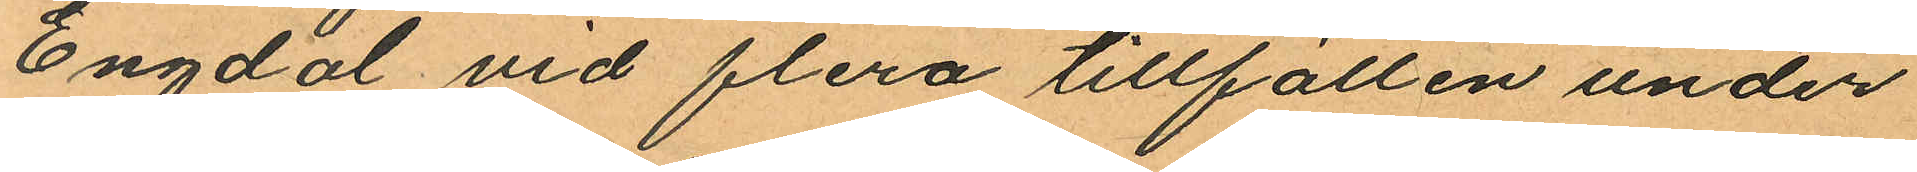Engdal vid flera tillfällen under
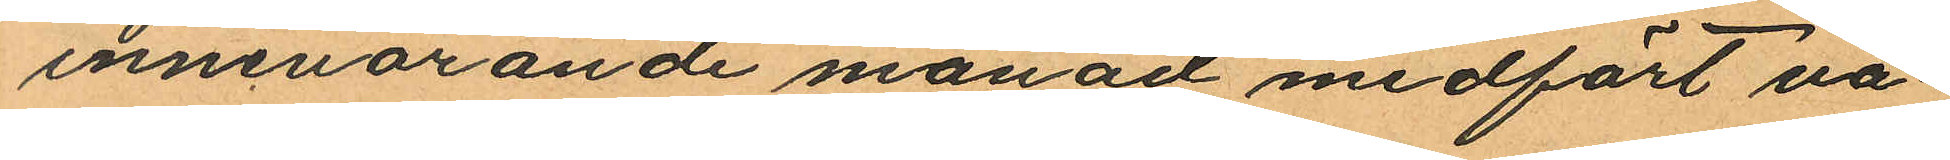innevarande månad medfört va¬
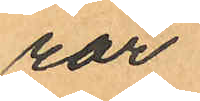ror
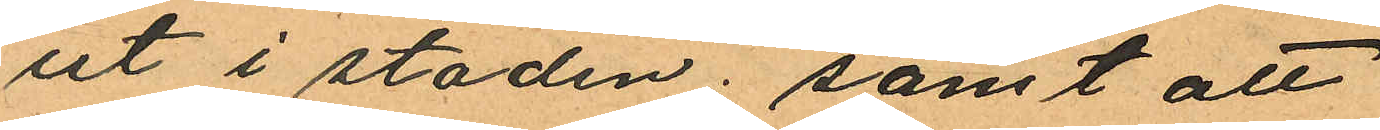ut i staden; samt att
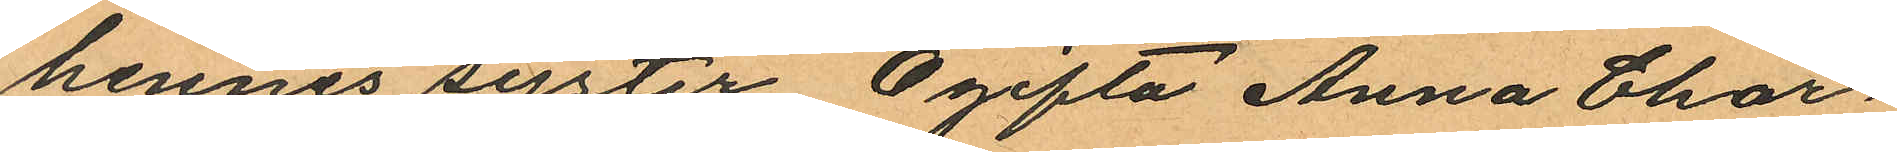hennes syster Ogifta Anna Char¬
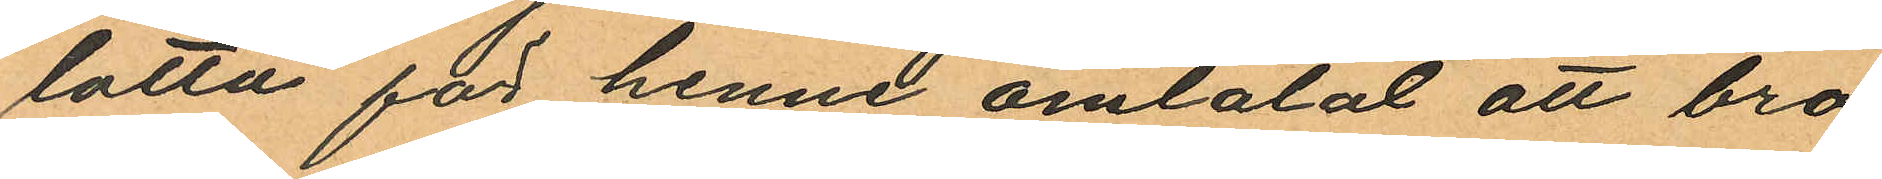lotta för henne omtalat att bro¬
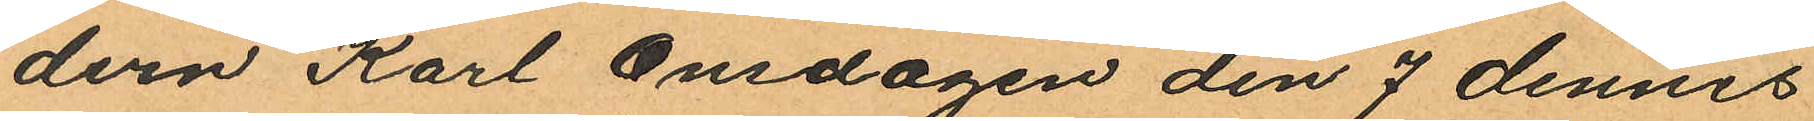dern Karl Onsdagen den 7 dennes
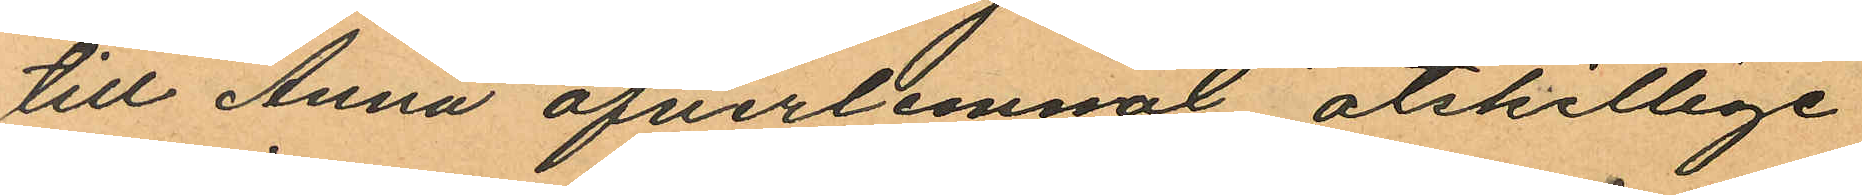till Anna öfverlemnat åtskillige
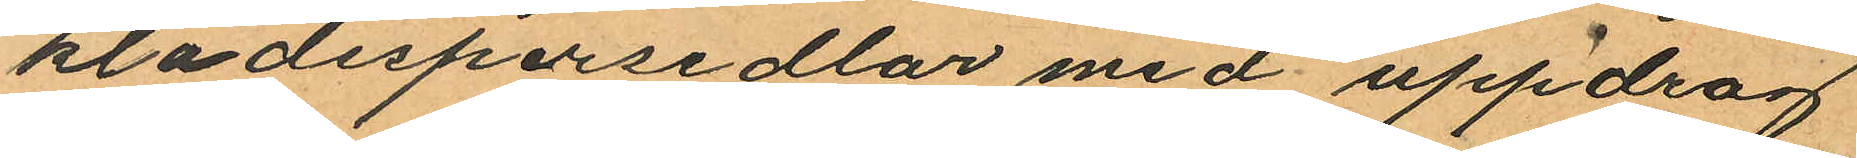klädespersedlar med uppdrag
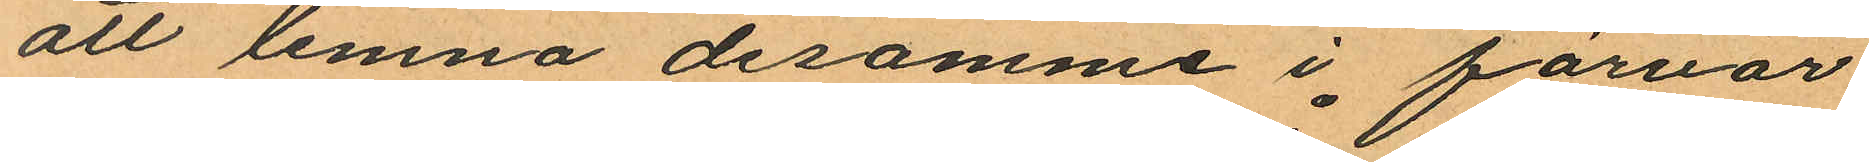att lemna desamme i förvar
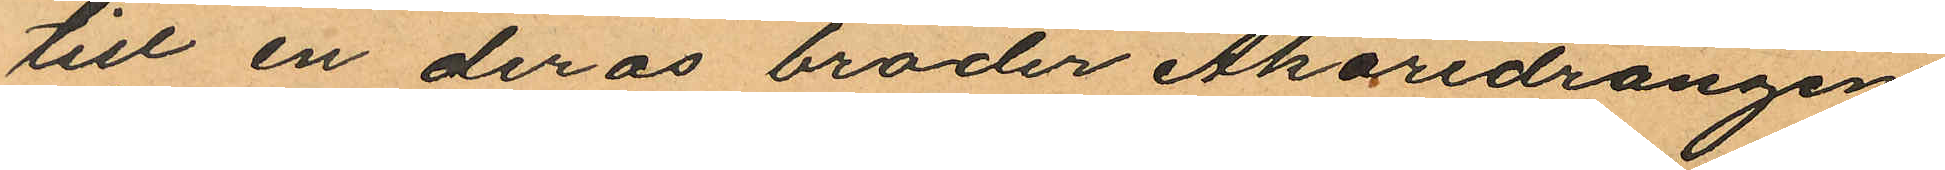till en deras broder Åkaredrängen
